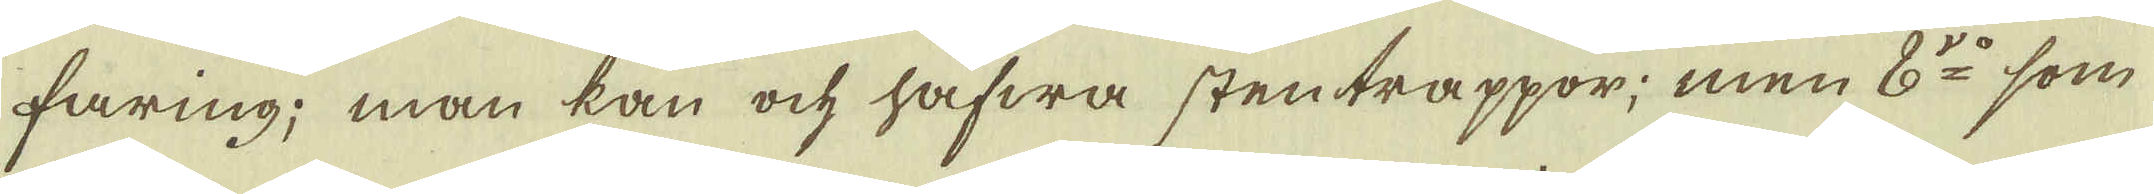faring; man kan och hafwa stentrappor; men 8:do som
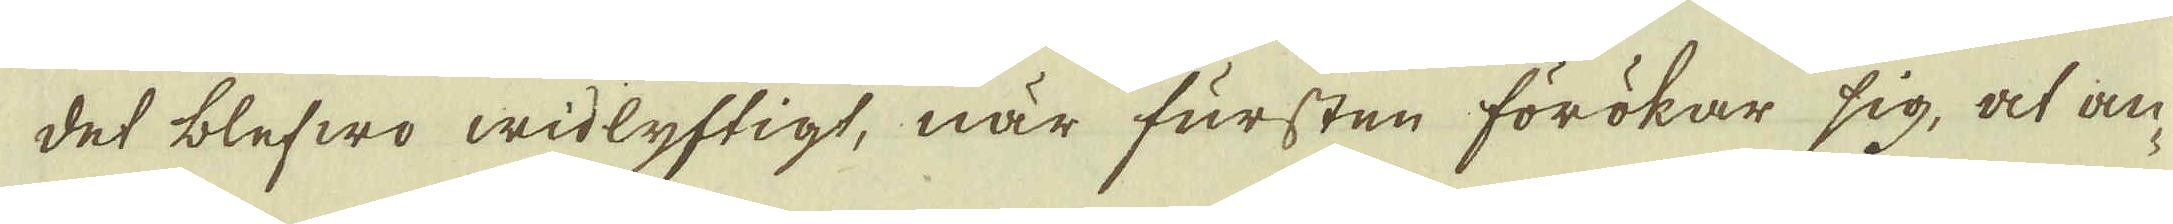det blefwo widlyftigt, när fursten förökar sig, at an-
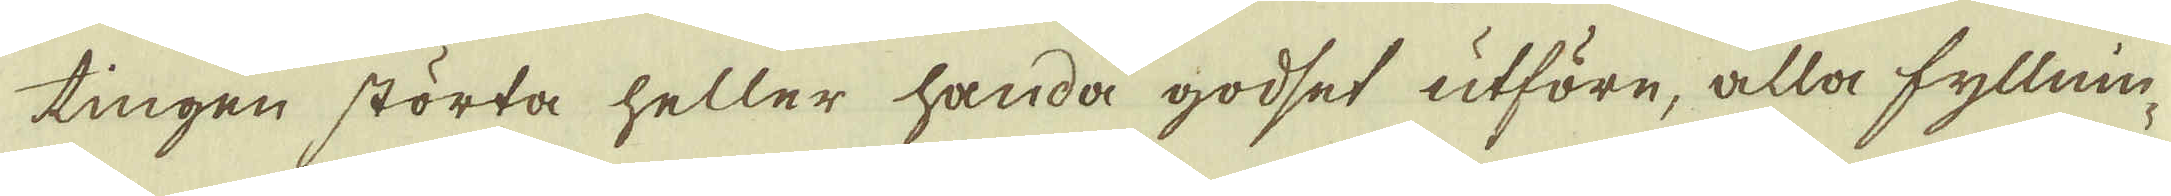tingen störta heller handa godset utföre, alla fyllnin-
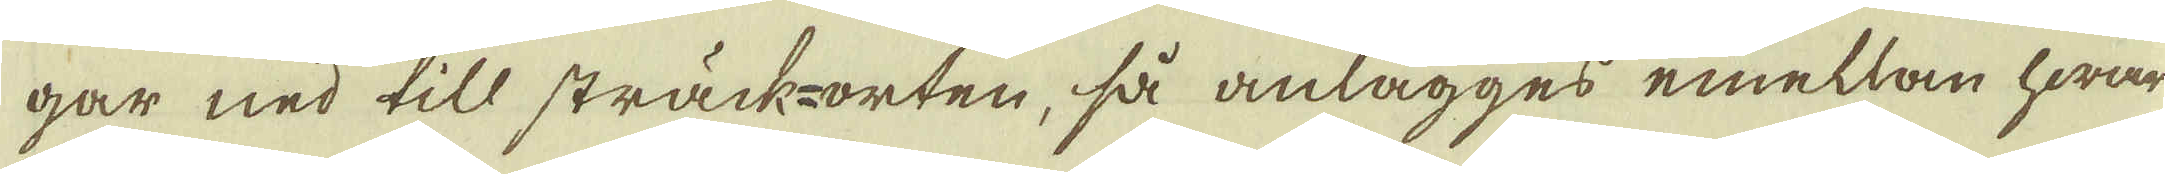gar ned till sträck-orten, så anlägges emellan hwar
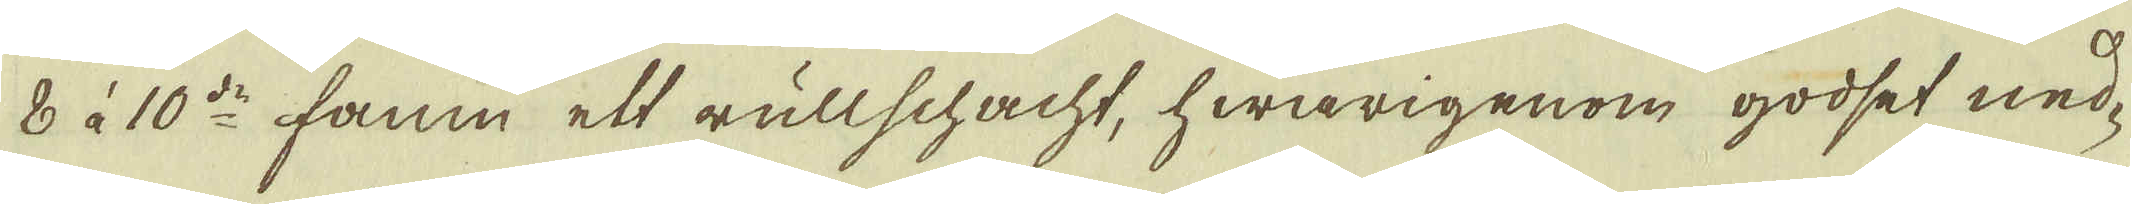8 à 10de famn ett rullschacht, hwarigenom godset ned-
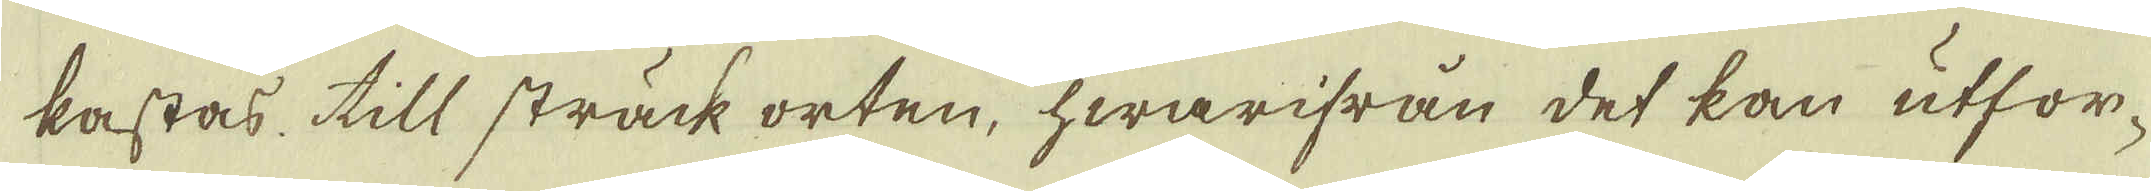kastas till sträck orten, hwarifrån det kan utfor-
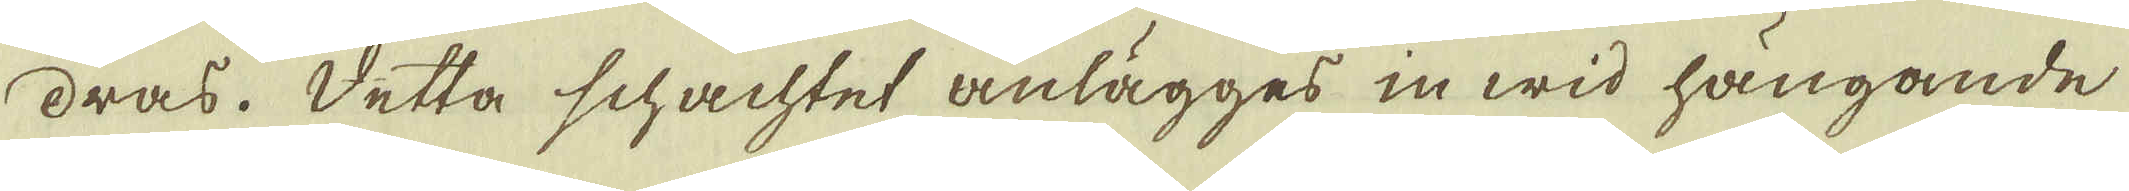dras. Detta schachtet anlägges in wid hängande
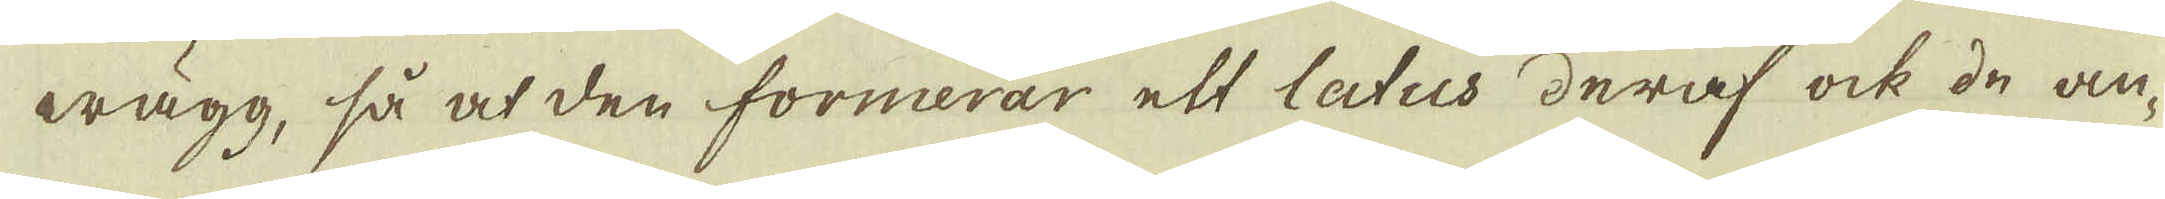wägg, så at den formerar ett latus deraf ock de an-
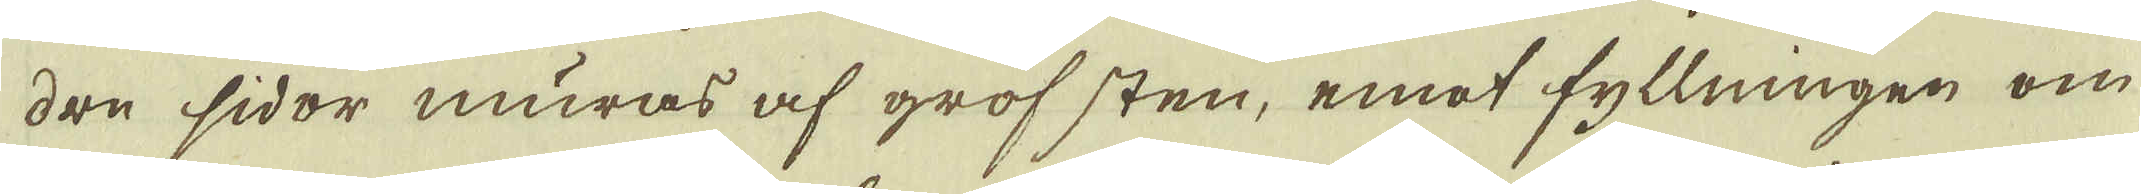dre sidor muras af grof sten, emot fyllningen om
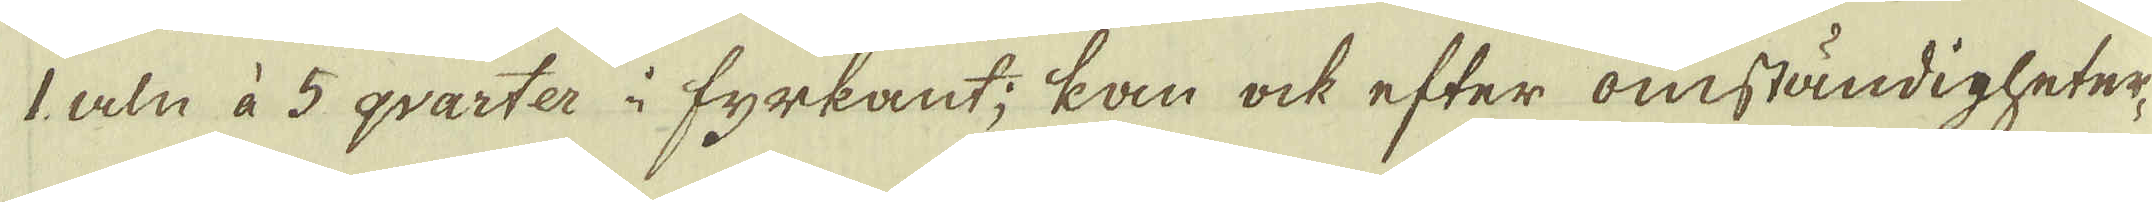1 aln à 5 qvarter i fyrkant; kan ock efter omständigheter-
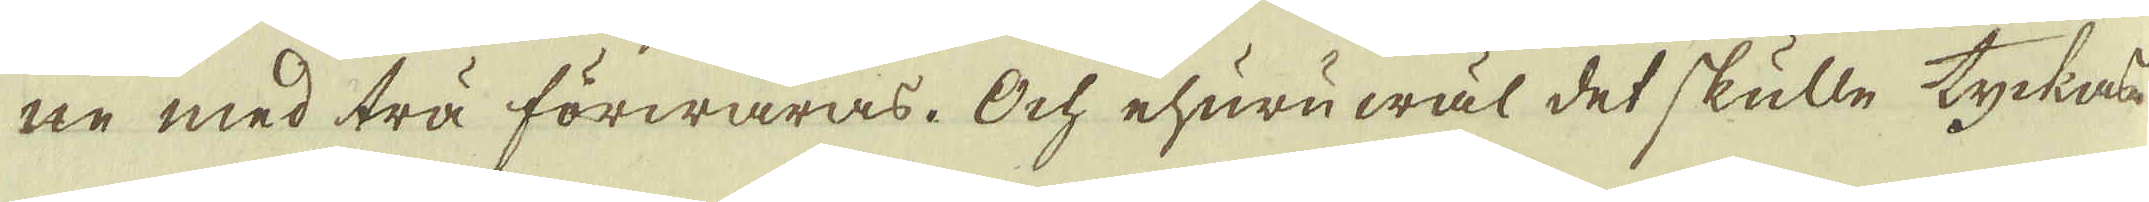ne med trä förwaras. Och ehuru wäl det skulle tyckas
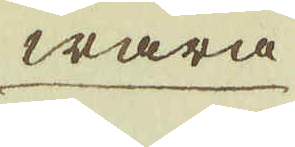wara
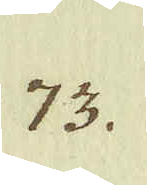73.
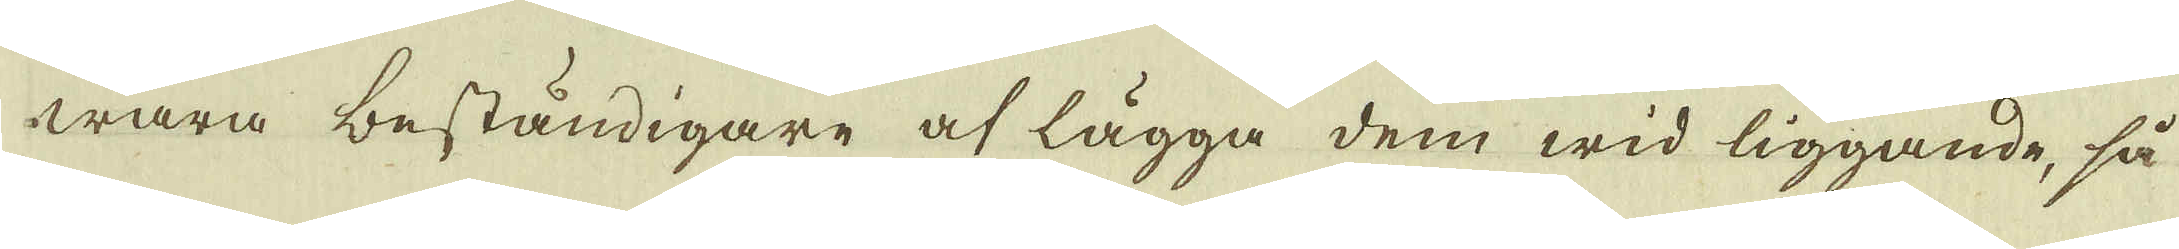wara beständigare at lägga dem wid liggande, så
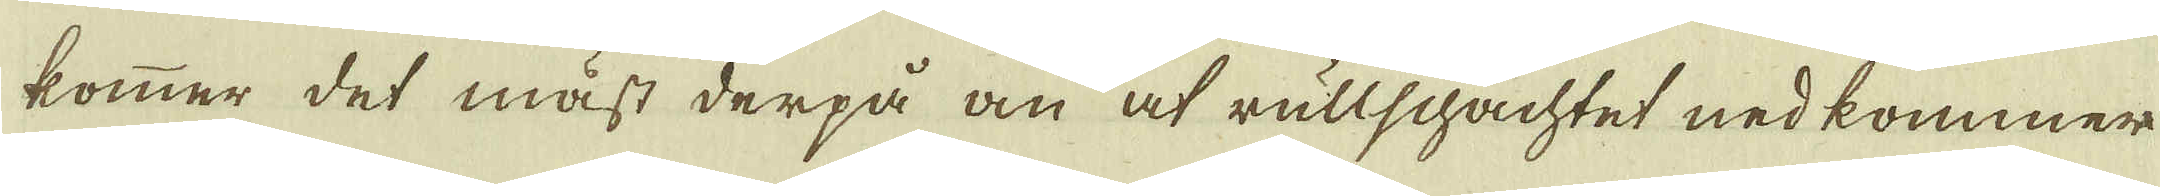kommer det mäst derpå om at rullschachtet nedkommer
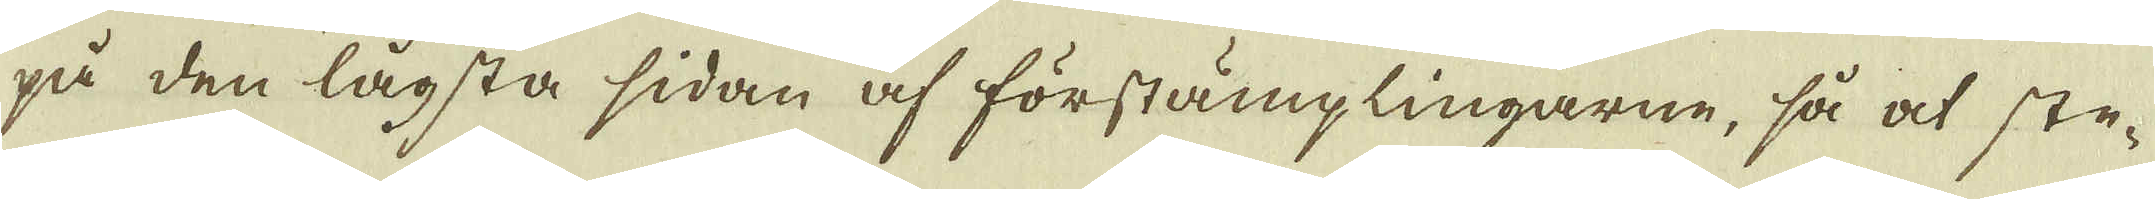på den lägsta sidan af förstämplingarne, så at ste-
